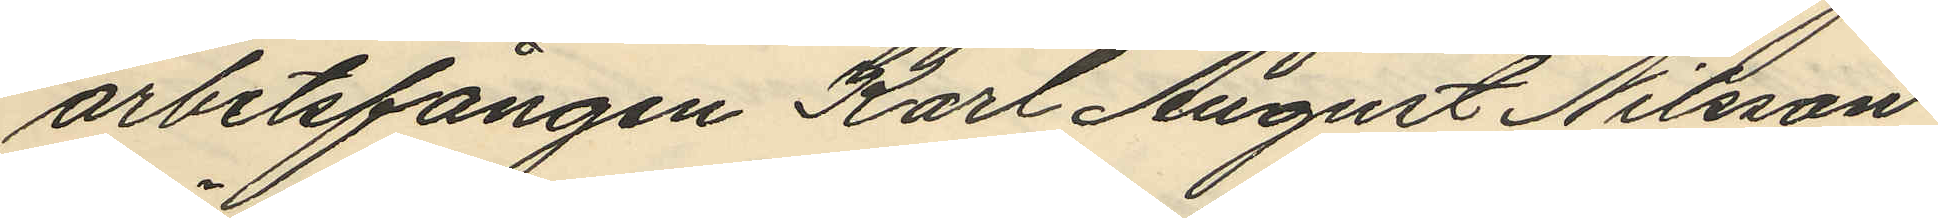arbetsfången Karl August Nilsson
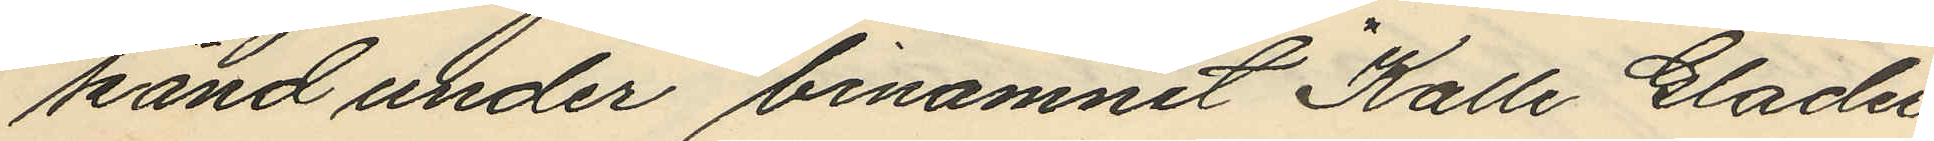känd under binamnet "Kalle Glader"
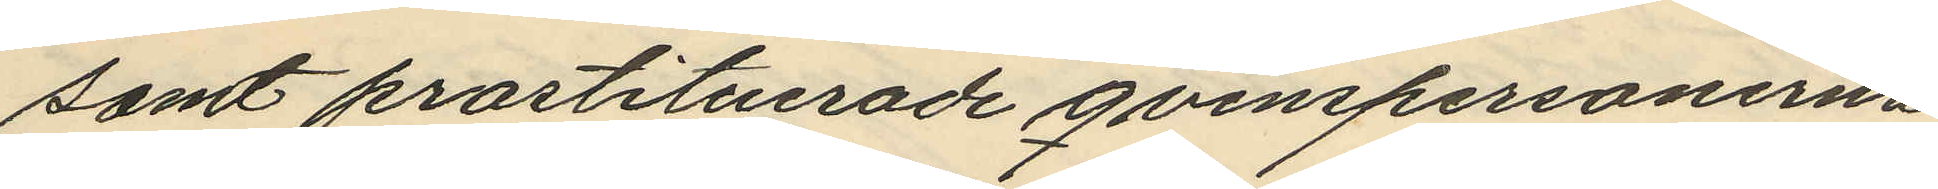samt prostituerade qvinspersonerna
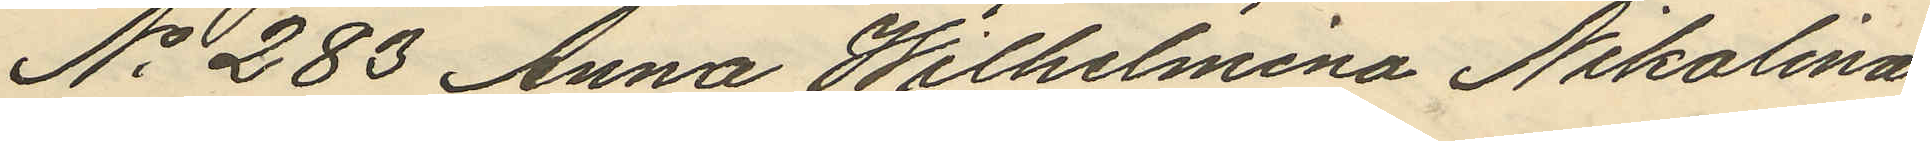No 283 Anna Wilhelmina Nikolina
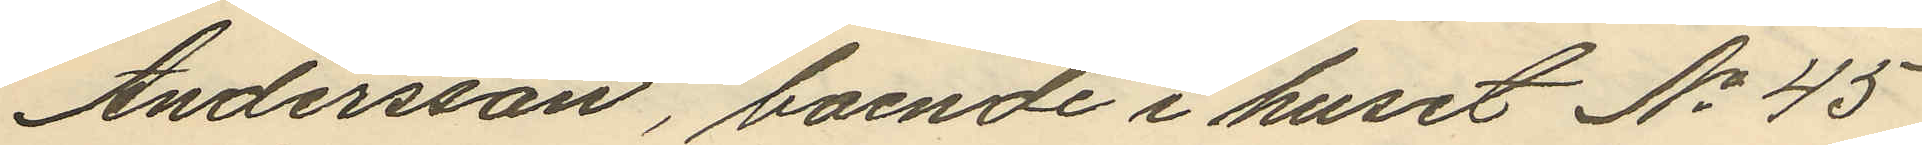Andersson, boende i huset No 45
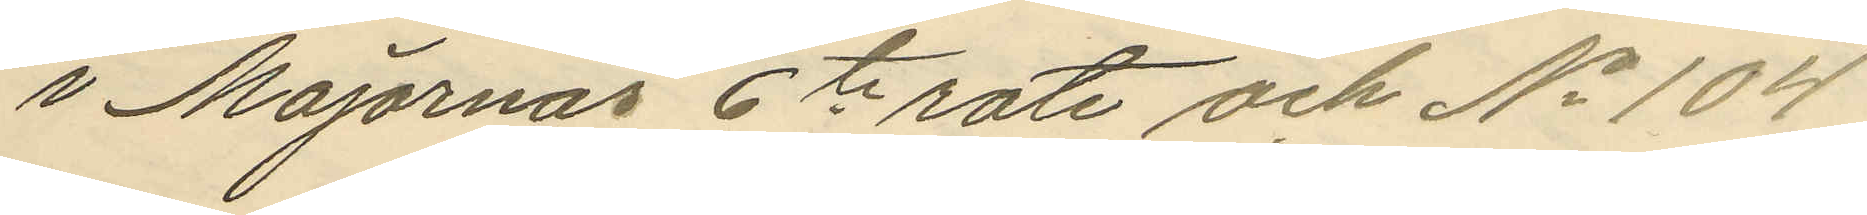i Majornas 6te rote och No 104
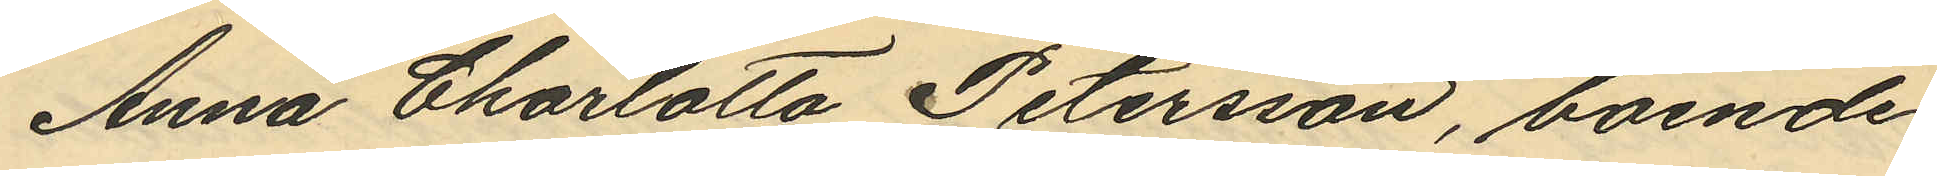Anna Charlotta Petersson, boende
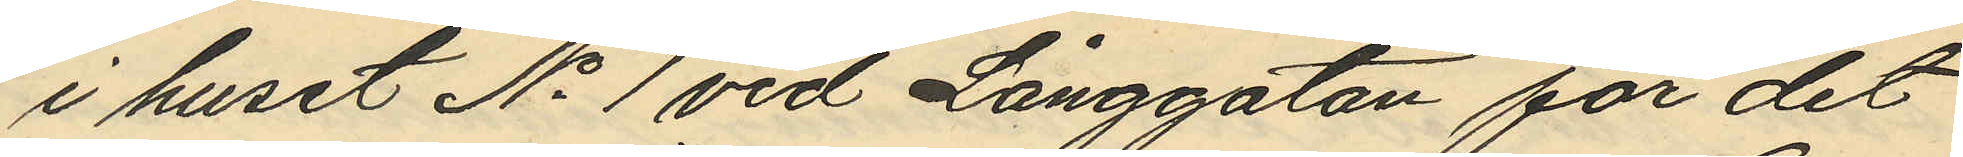i huset No 1 vid Långgatan för det
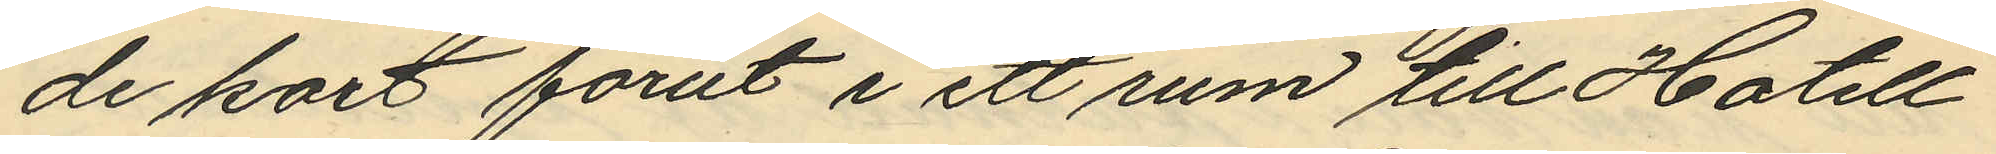de kort förut i ett rum till Hotell
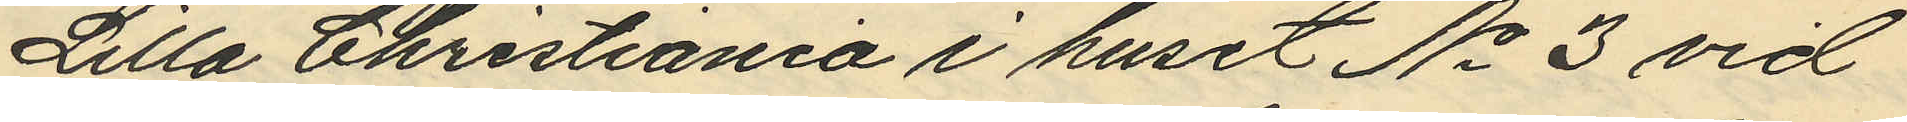Lilla Christiania i huset No 3 vid
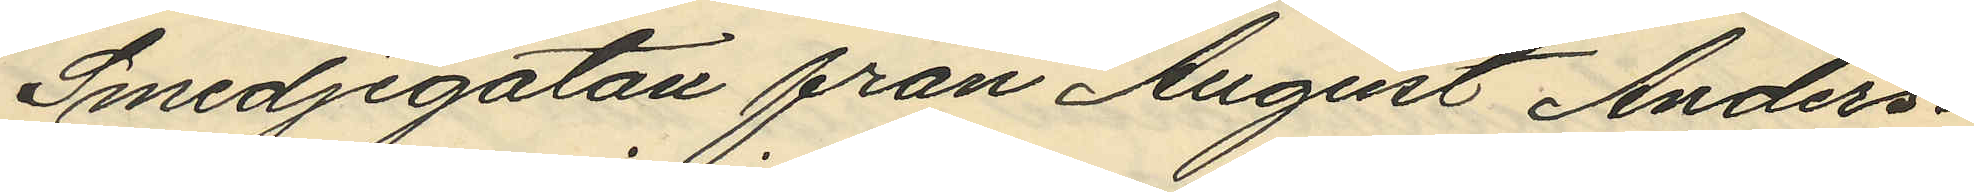Smedjegatan från August Anders¬
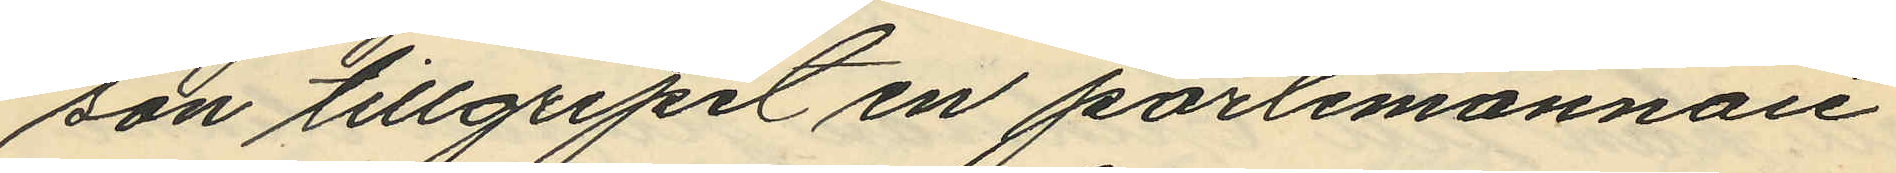son tillgripit en portmonnaie
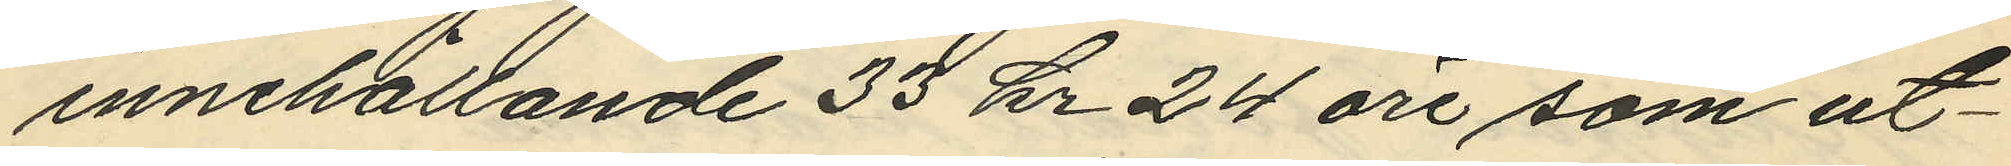innehållande 33 kr 24 öre som ut¬
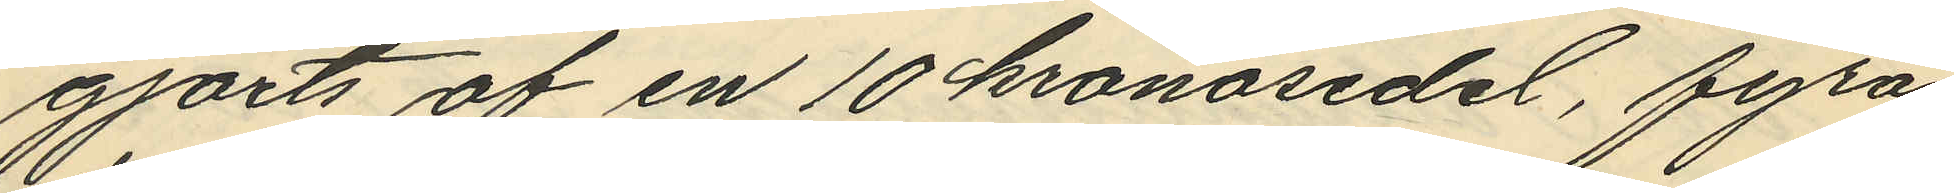gjorts af en 10 kronosedel, fyra
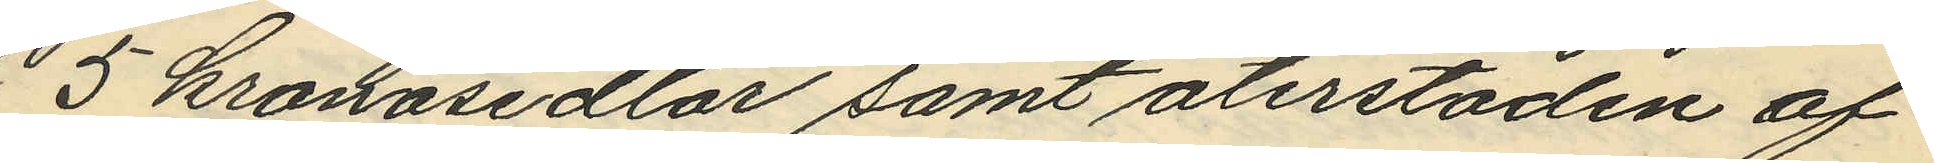5 kronosedlar samt återstoden af
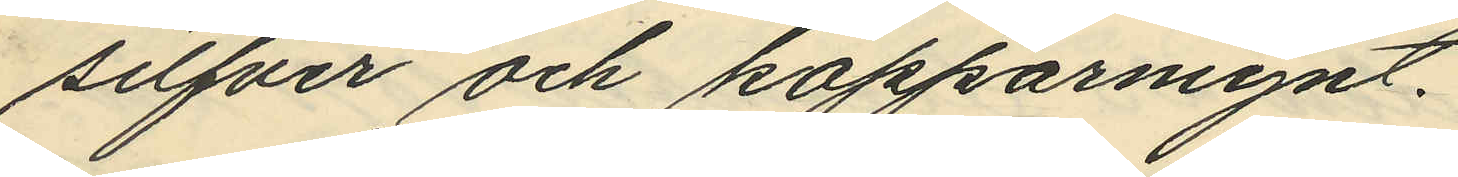silfver och kopparmynt.
